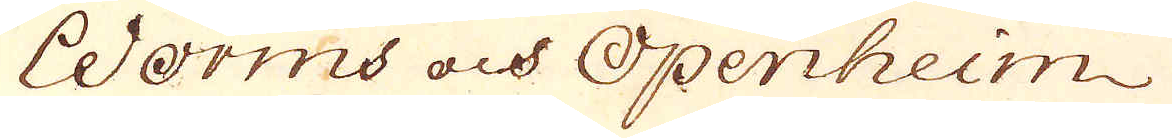Worms och Openheim
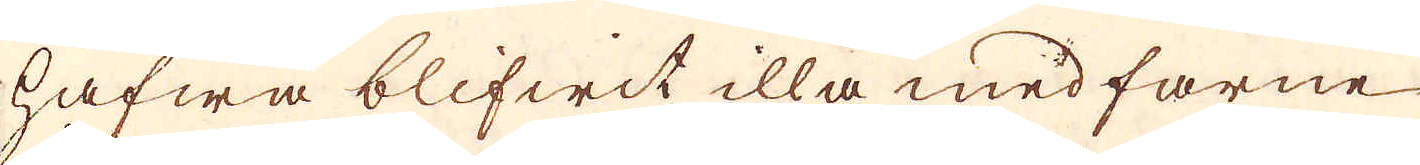hafwa blifwit illa medfarne
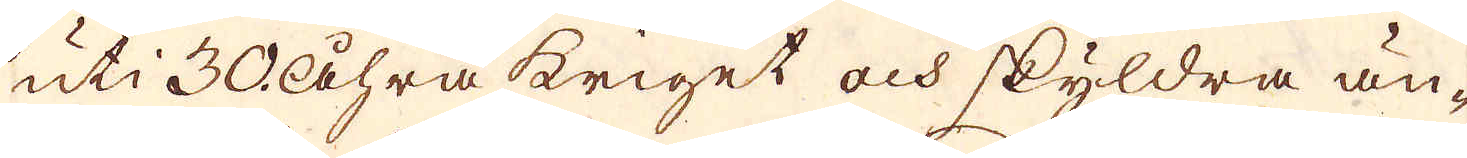uti 30 Åhra kriget och skyldra än-
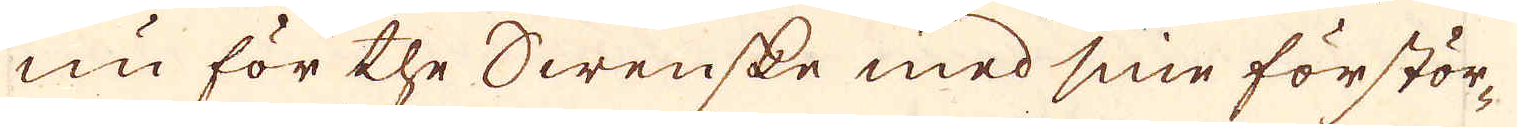nu för the Swenske med sine förstör-
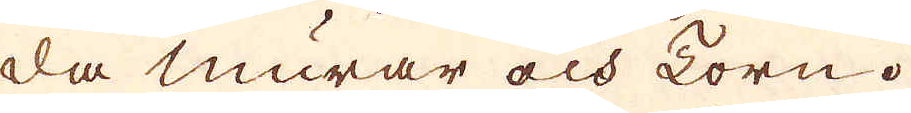da murar och Torn.
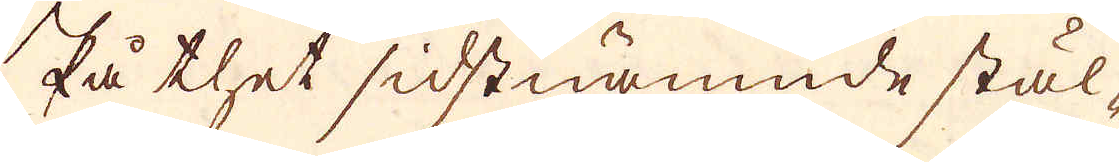På thet sidstnämnde stäl-
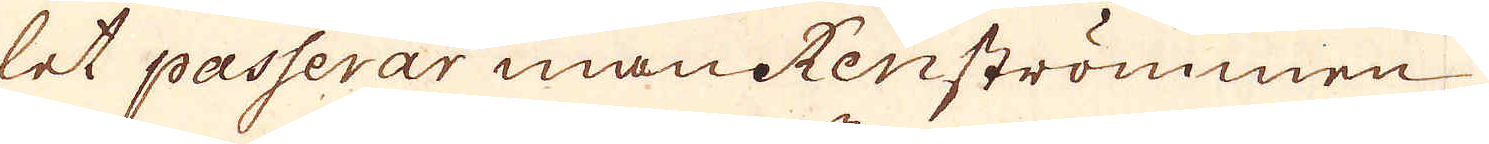let passerar man Renströmmen
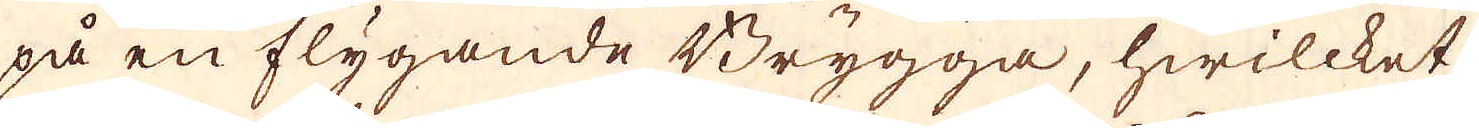på en flygande Brygga, hwilcket
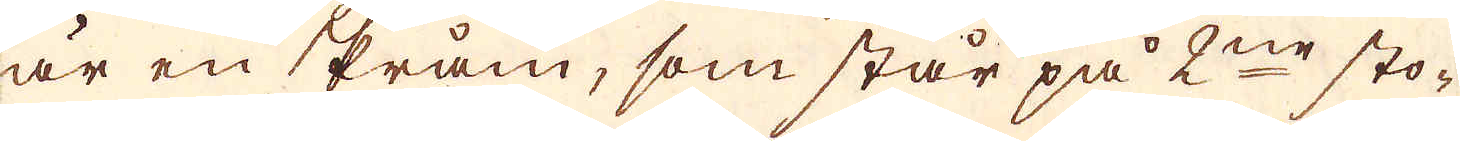är en Pråm, som står på 2ne sto-
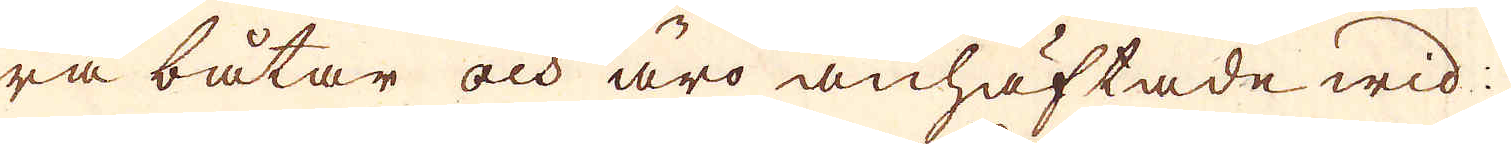ra båtar och äro anhäftade wid
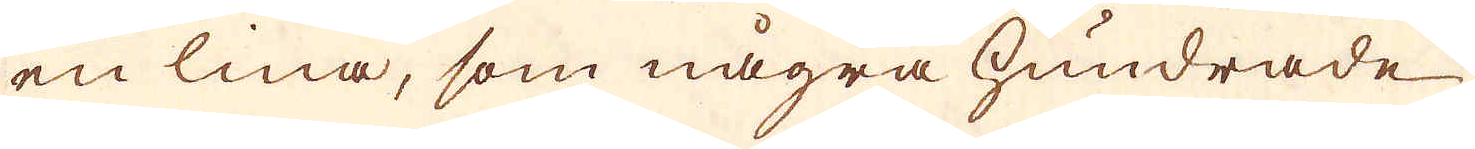en lina, som några hundrade
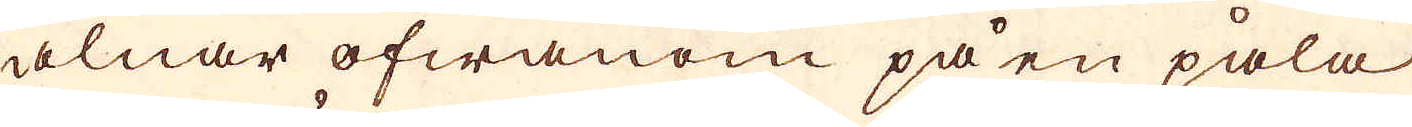alnar ofwanom på en påla
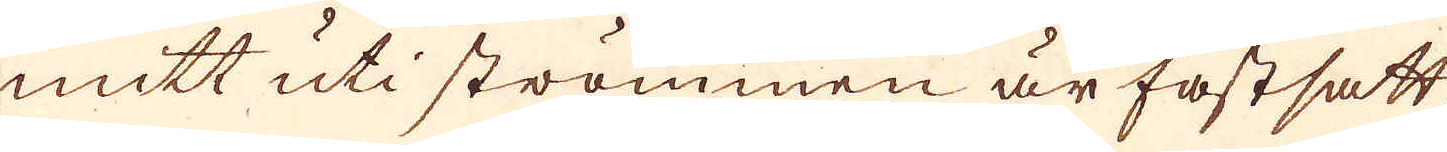mitt uti strömmen är fastsatt,
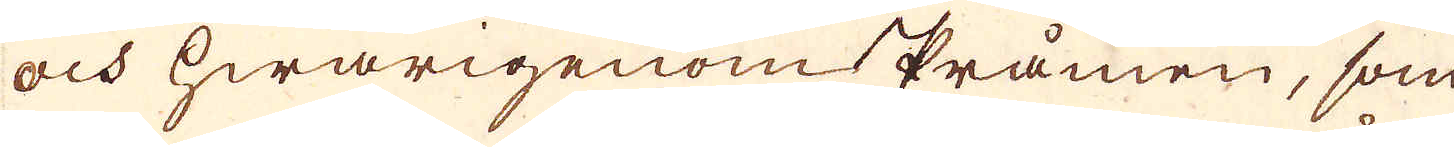och hwarigenom Pråmen, som
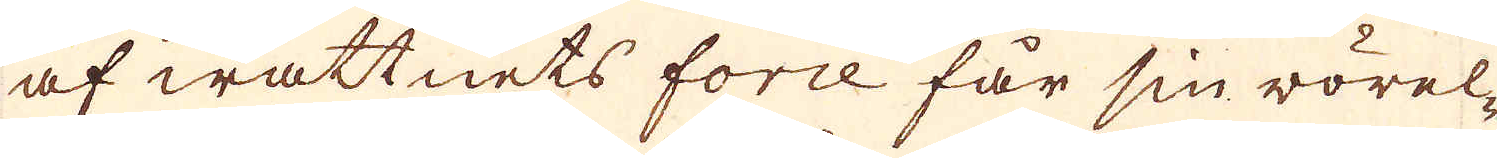af wattnets force får sin rörel-
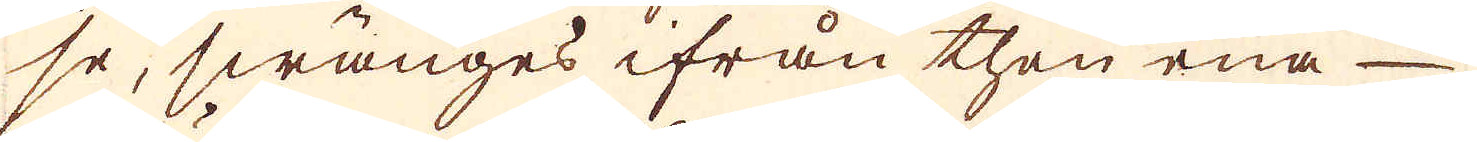se, swänges ifrån then ena
